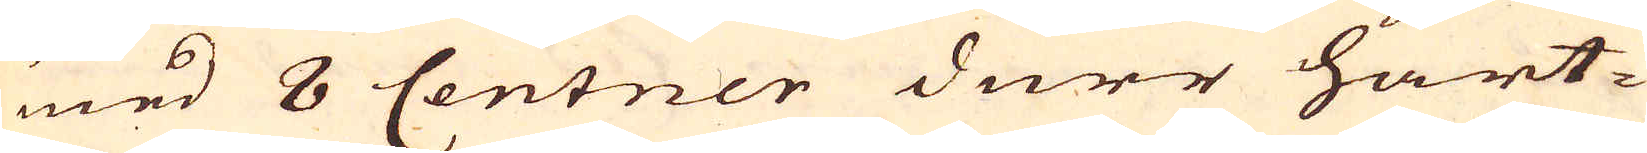med 8 Centner durr hart-
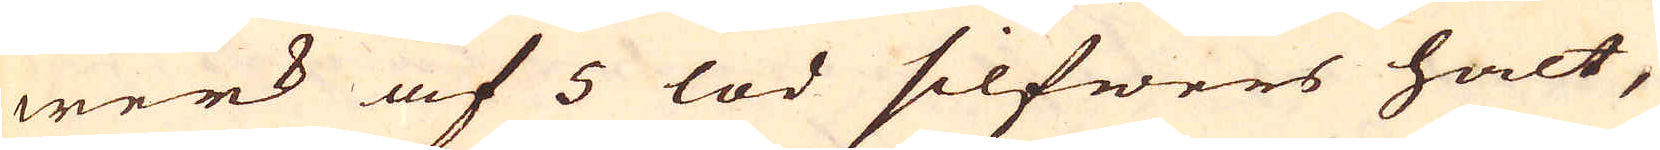werk af 5 lod silfwers halt,
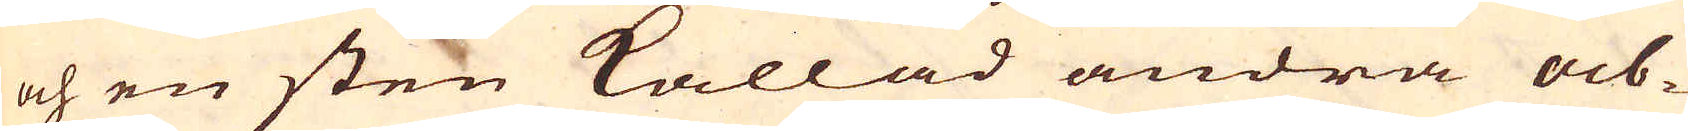och en sten kallad andra ab-
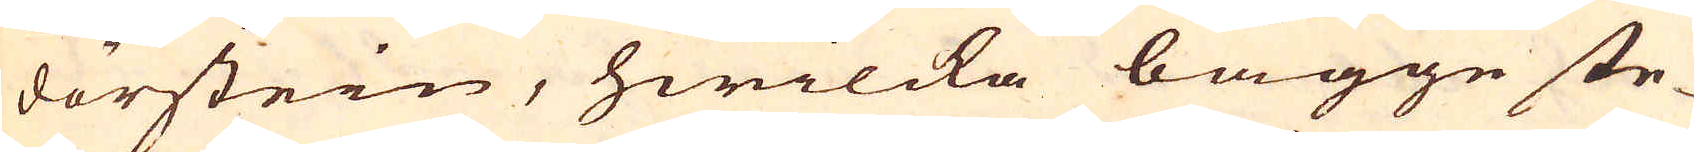dörstein, hwilcka bägge ste-
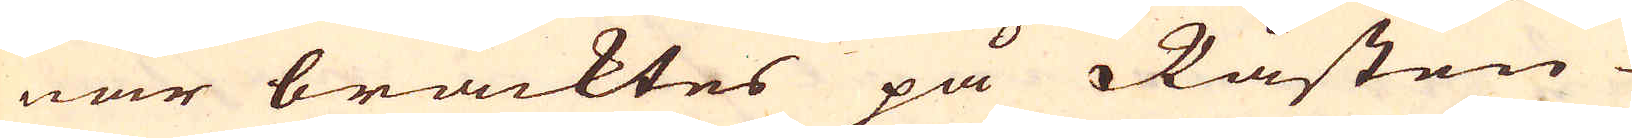nar bracktes på Råsten
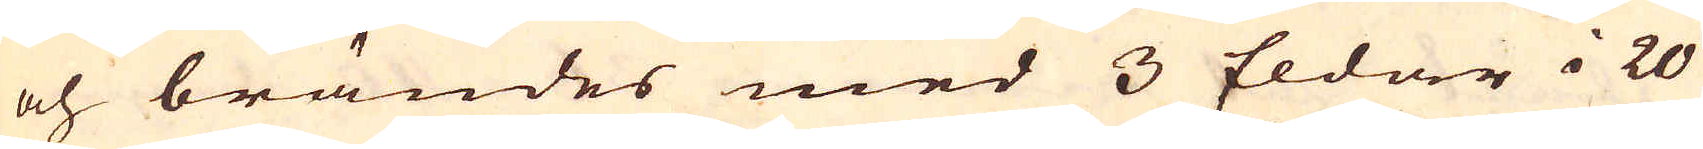och brändes med 3 Eldar i 20
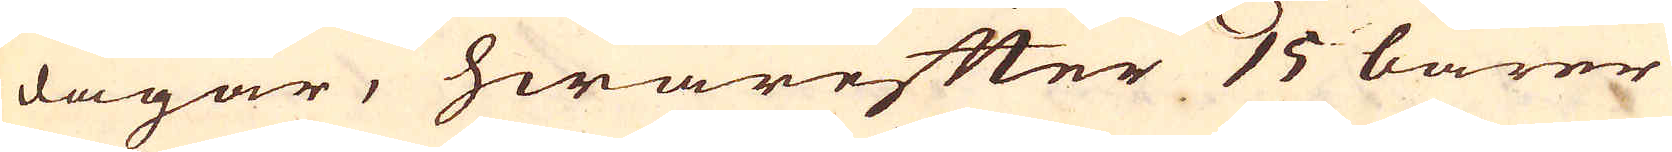dagar, hwarefter 15 barer
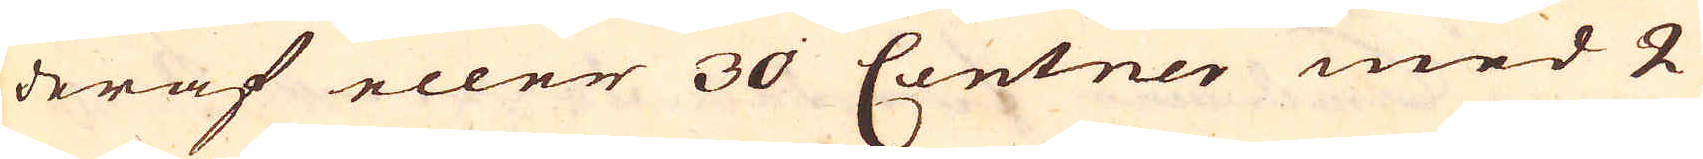deraf eller 30 Centner med 2
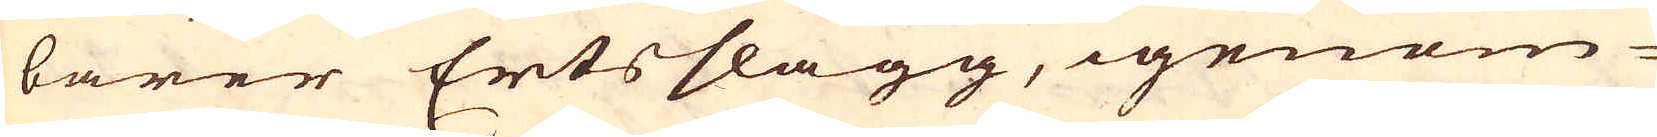barer Ertsslagg, igenom-
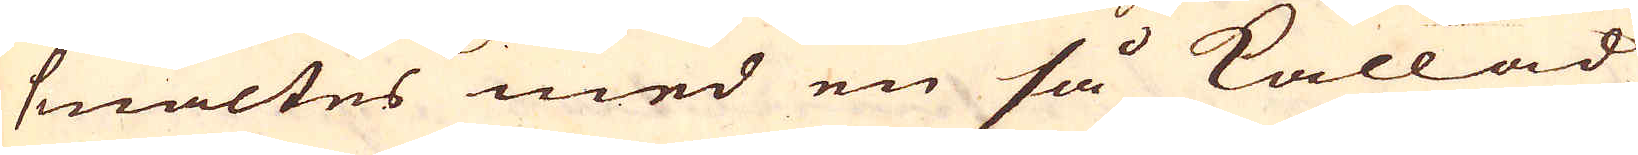smältes med en så kallad
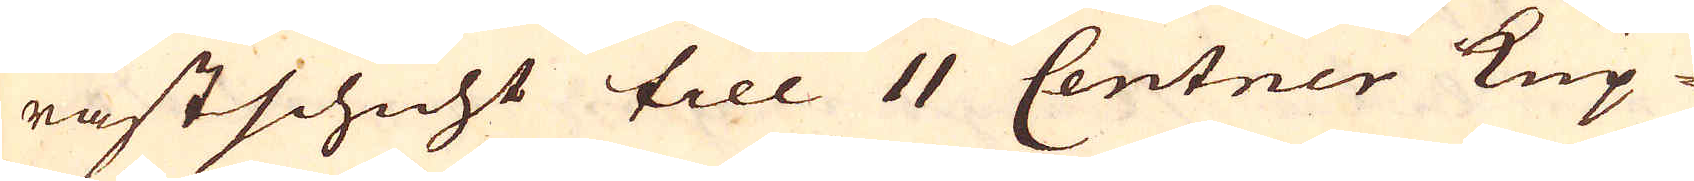råstschicht till 11 Centner Kup-
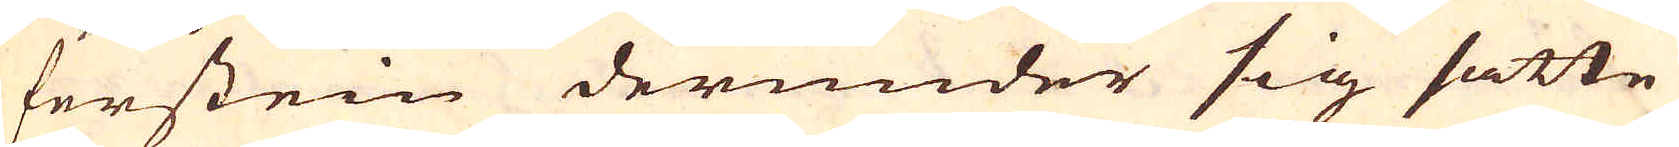ferstein derunder sig satte
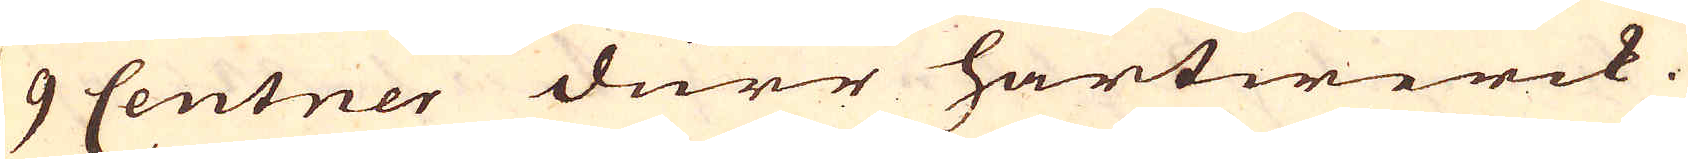9 Centner dürr hartwerck.
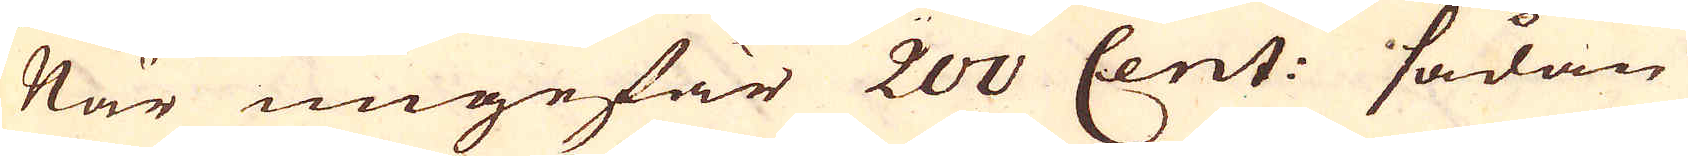När ungefär 200 Cent: sådan
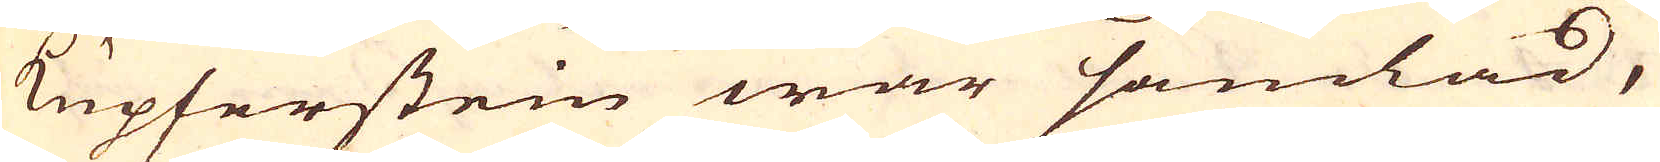Kupferstein war samlad,
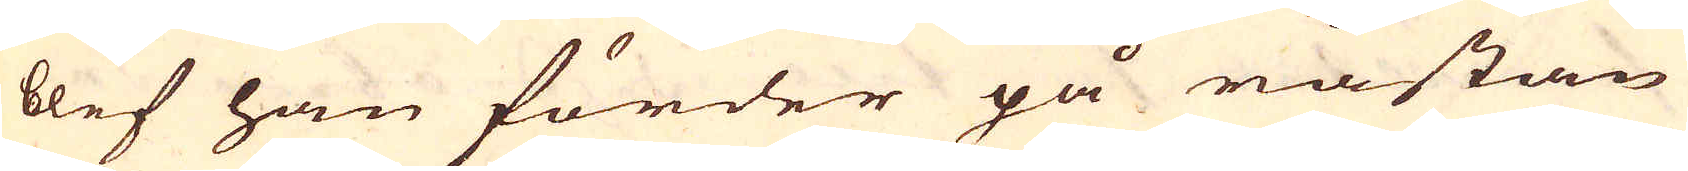blef han förder på råstan
